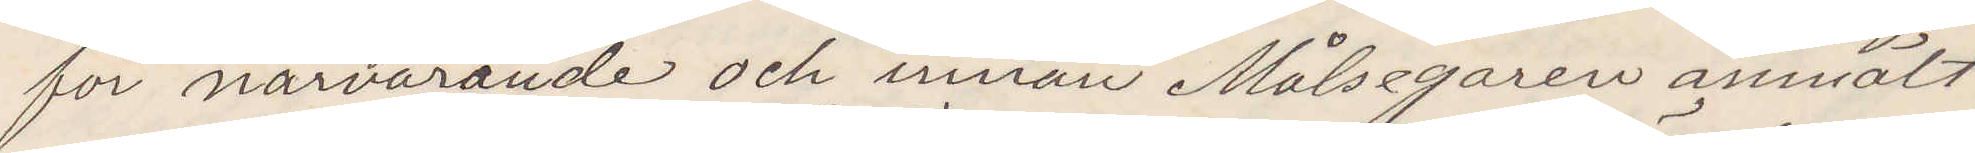för närvarande och innan Målsegaren anmält
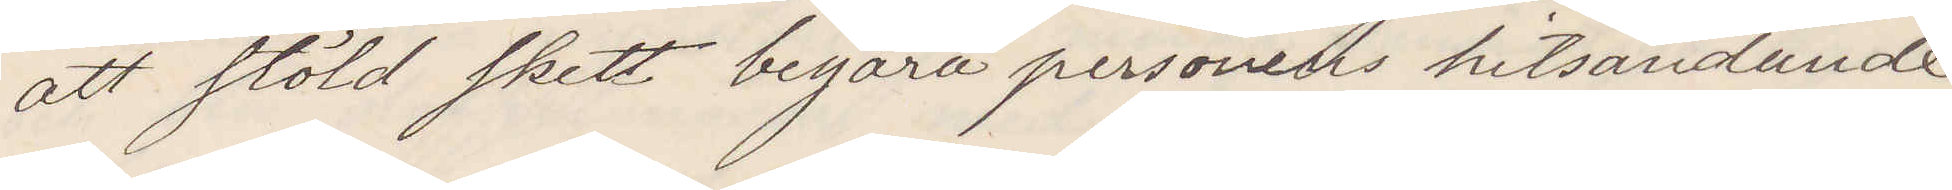att stöld skett begära personens hitsändande.
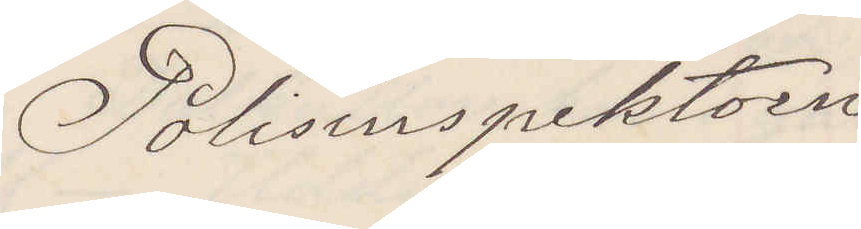Polisinspektorn
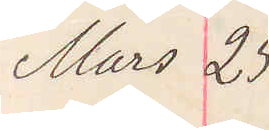Mars 25
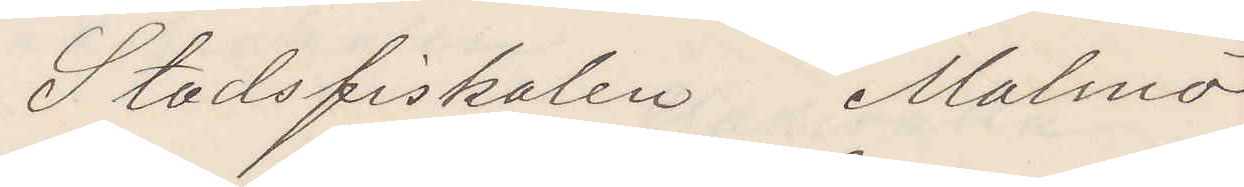Stadsfiskalen Malmö
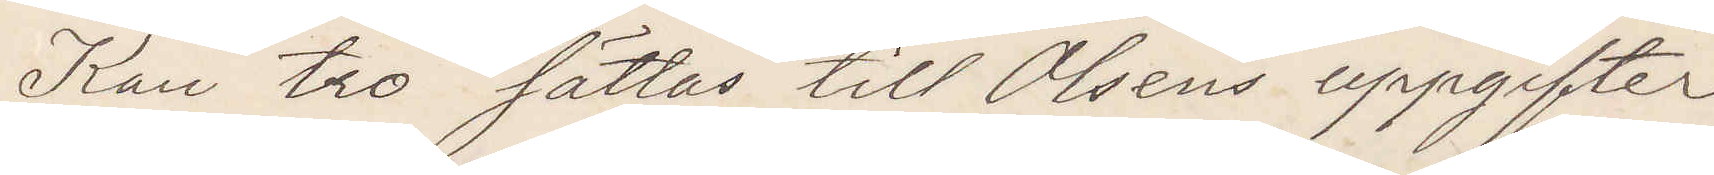Kan tro sättas till Olsens uppgifter
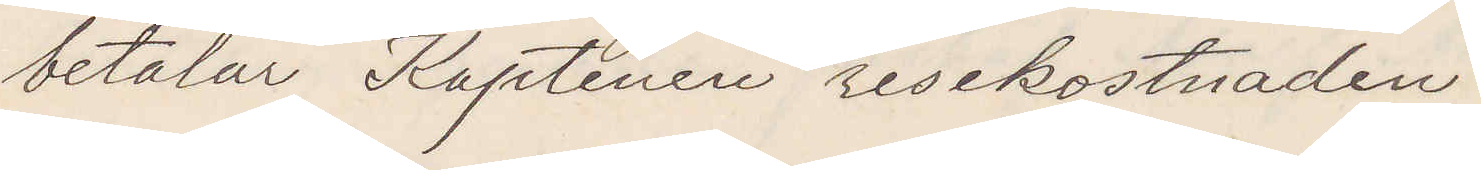betalar Kaptenen resekostnaden.
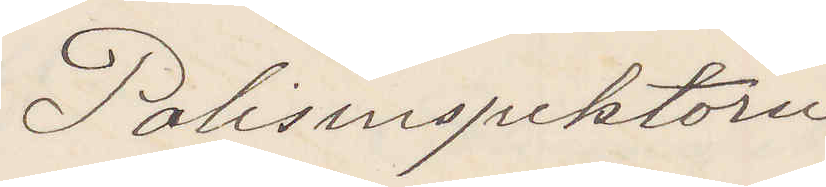Polisinspektorn
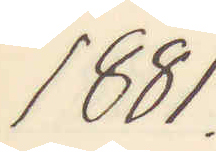1881.
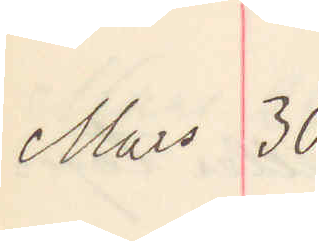Mars 30.
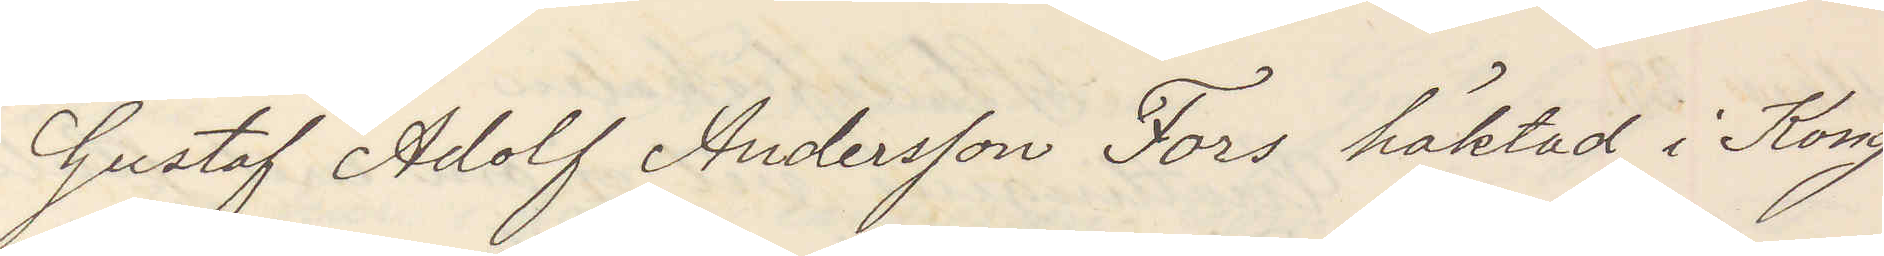Gustaf Adolf Andersson Fors häktad i Kong¬
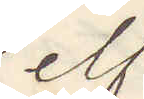elf
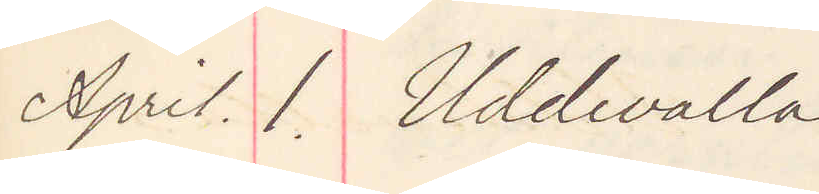April 1. Uddevalla
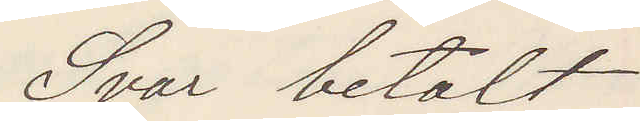Svar betalt
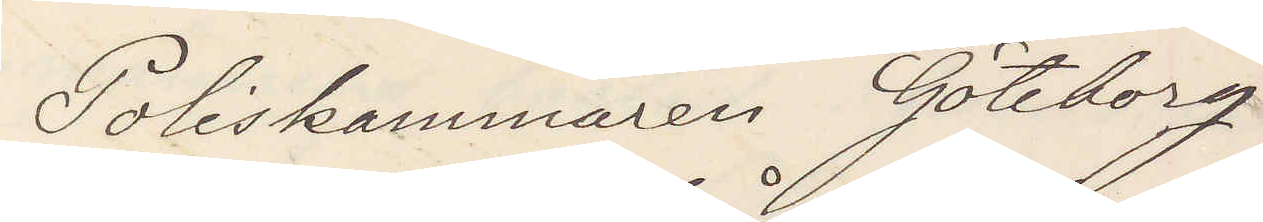Poliskammaren Göteborg
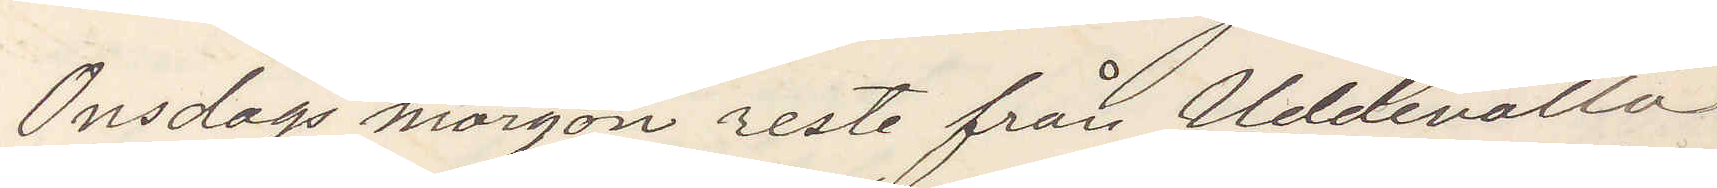Onsdag morgon reste från Uddevalla
